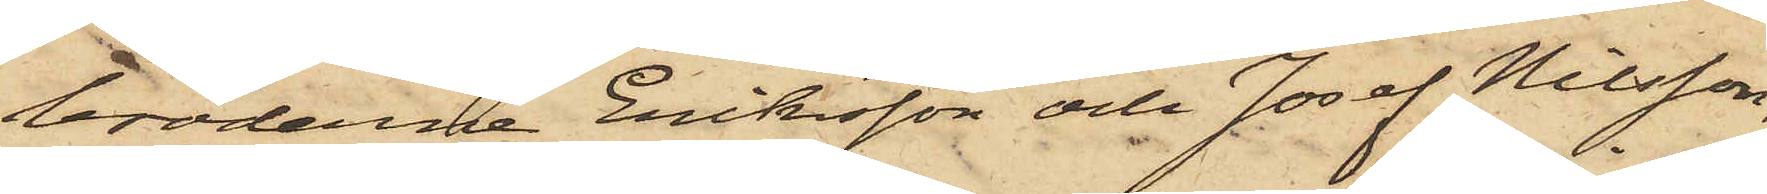bröderna Eriksson och Josef Nilsson,
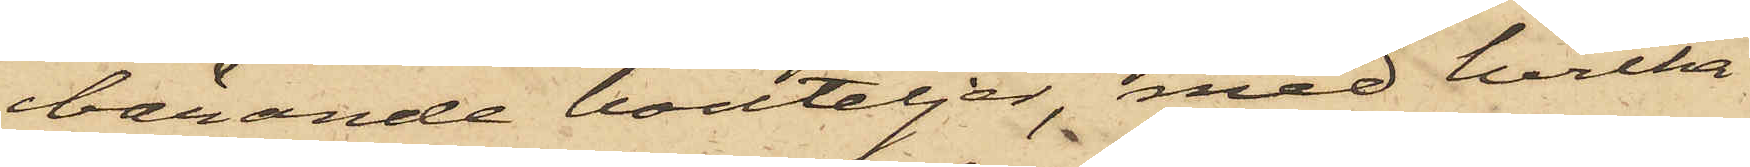bärande bouteljer, med hvilka
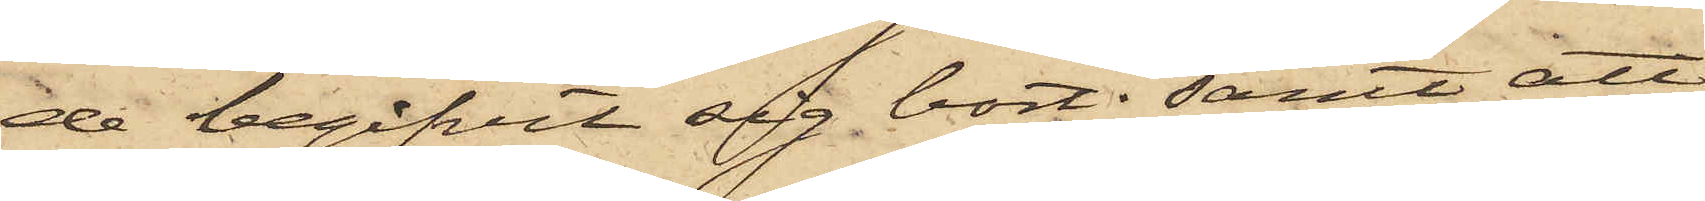de begifvit sig bort; samt att
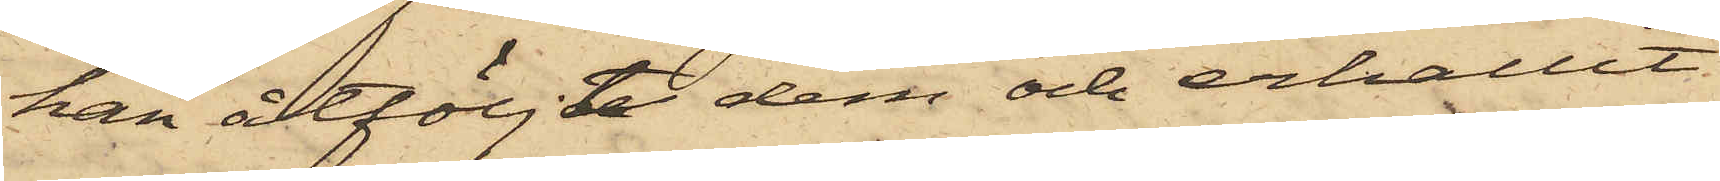han åtföljdt dem och erhållit
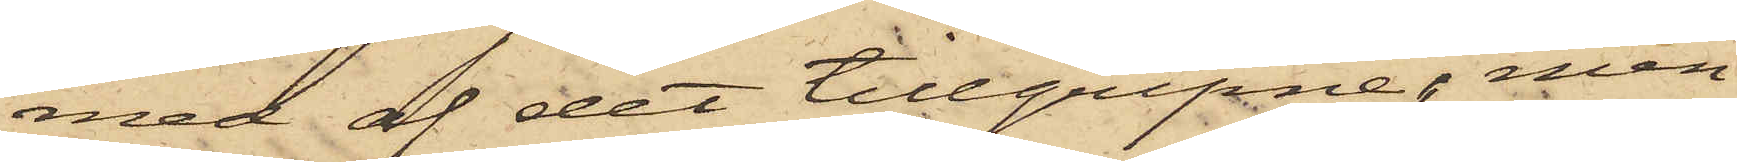med af det tillgripne; men
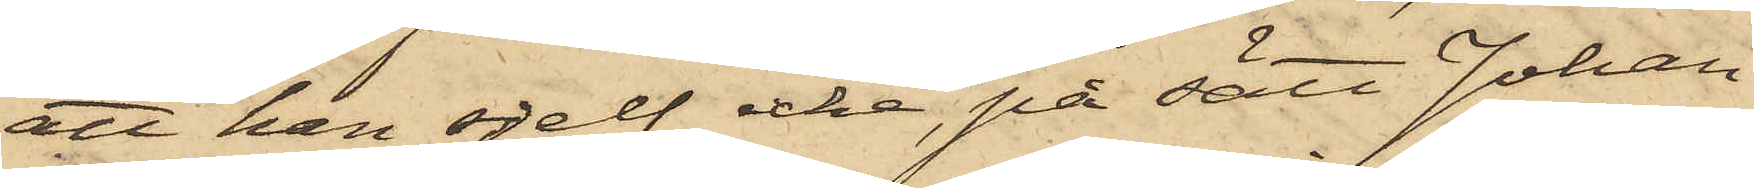att han sjelf icke, på sätt Johan
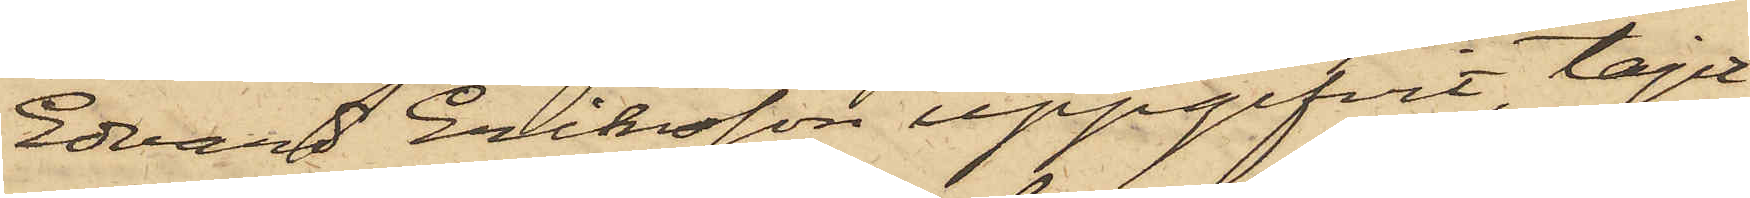Edvard Eriksson uppgifvit, tagit
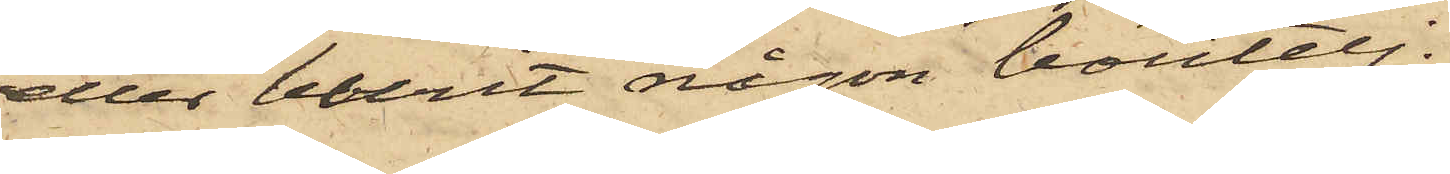eller burit någon boutelj.
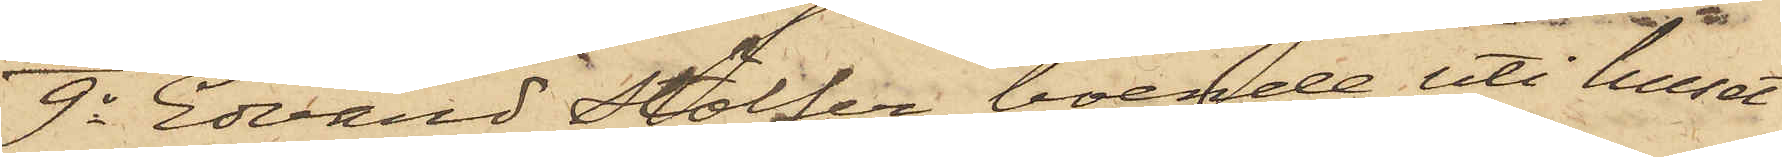9o Edvard Stölfer, boende uti huset
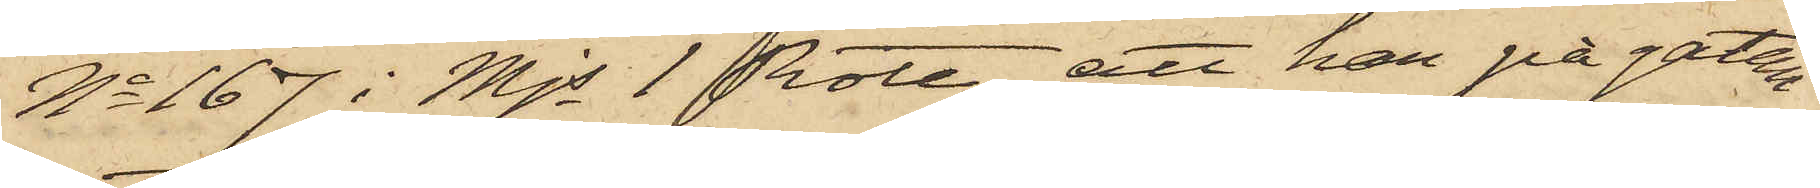No 167 i Mjs 1 Rote, att han på gatan
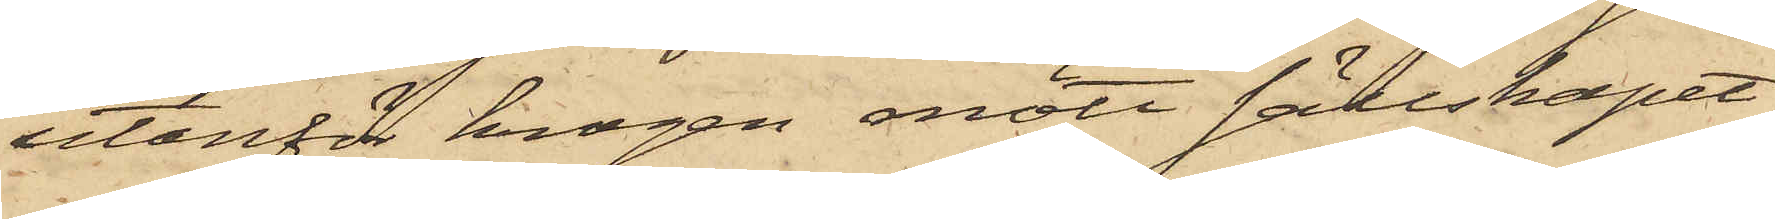utanför krogen mött sällskapet
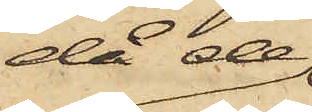då de
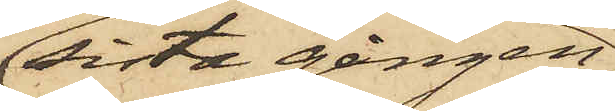sista gången;
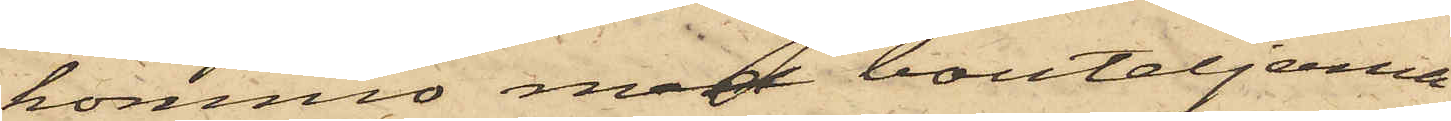kommo med bouteljerna
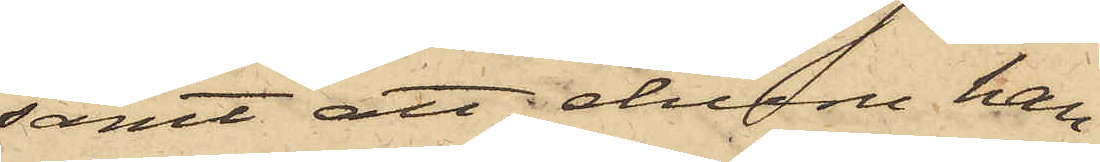samt att, ehuru han
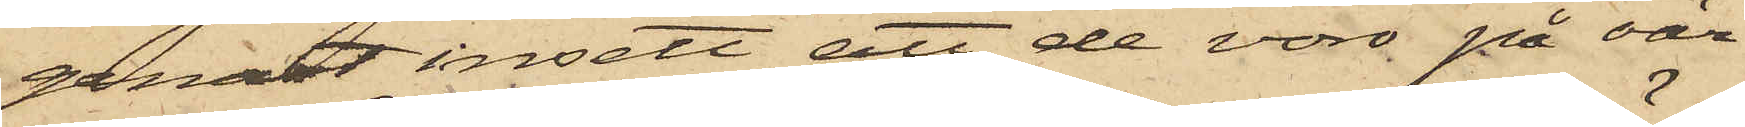genast insett att de vore på oär¬
